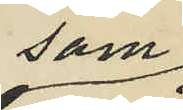som
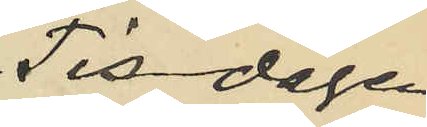Tisdagen
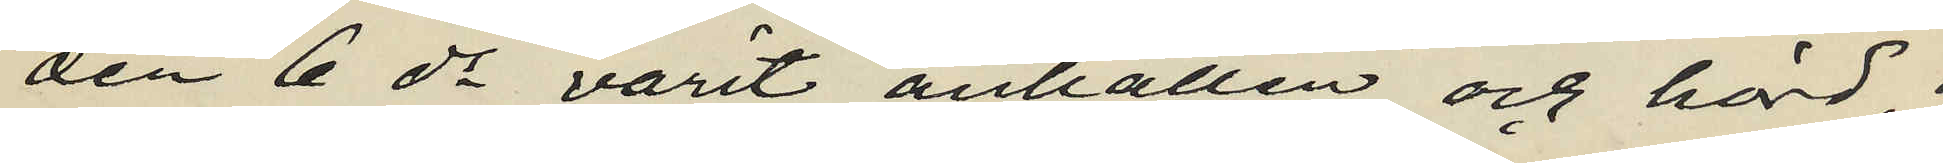den 6 ds varit anhållen och hörd,
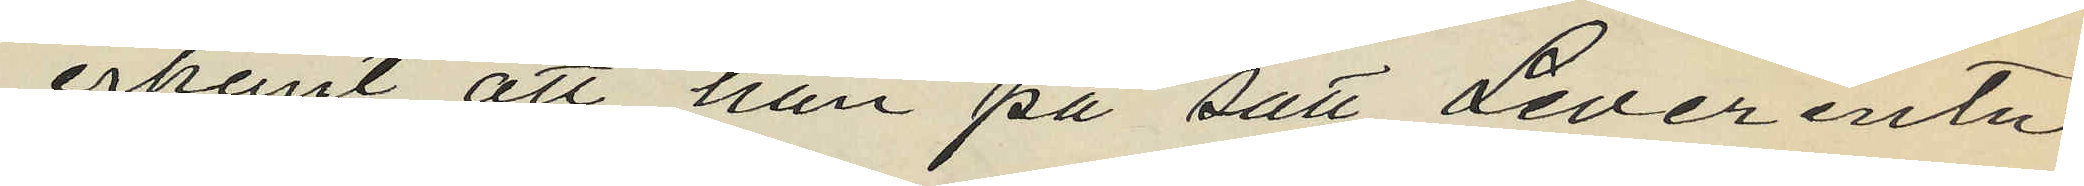erkänt, att han på sätt Leverentz
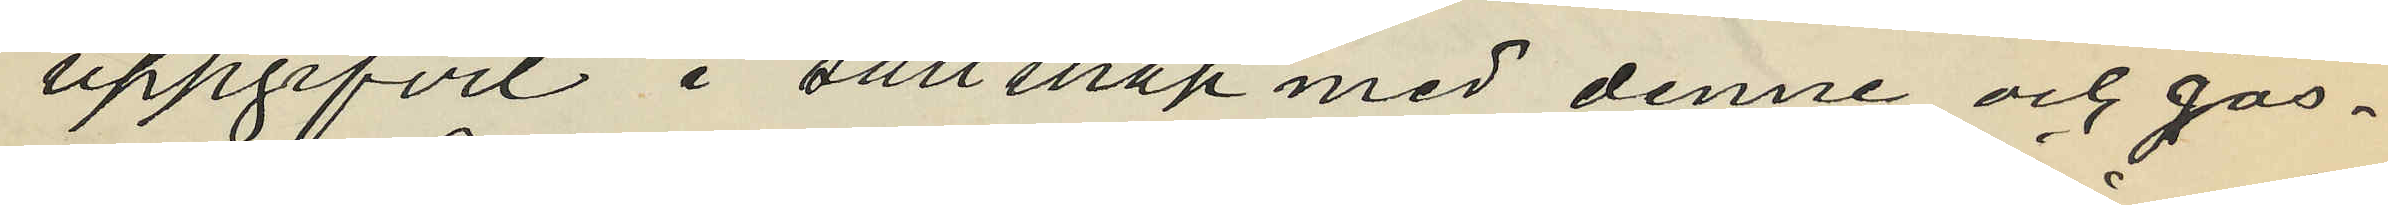uppgifvit i sällskap med denne och gos¬
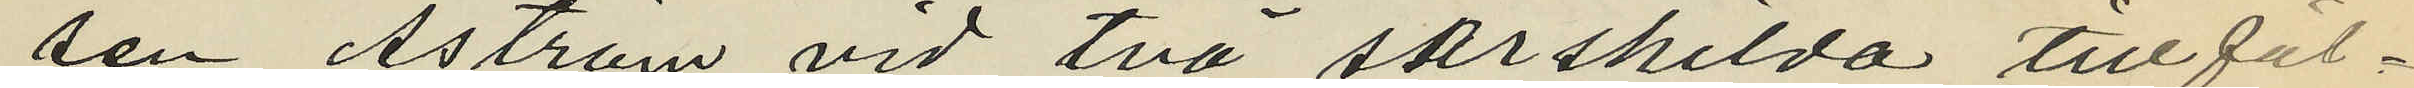sen Åström vid två särskilda tillfäl¬
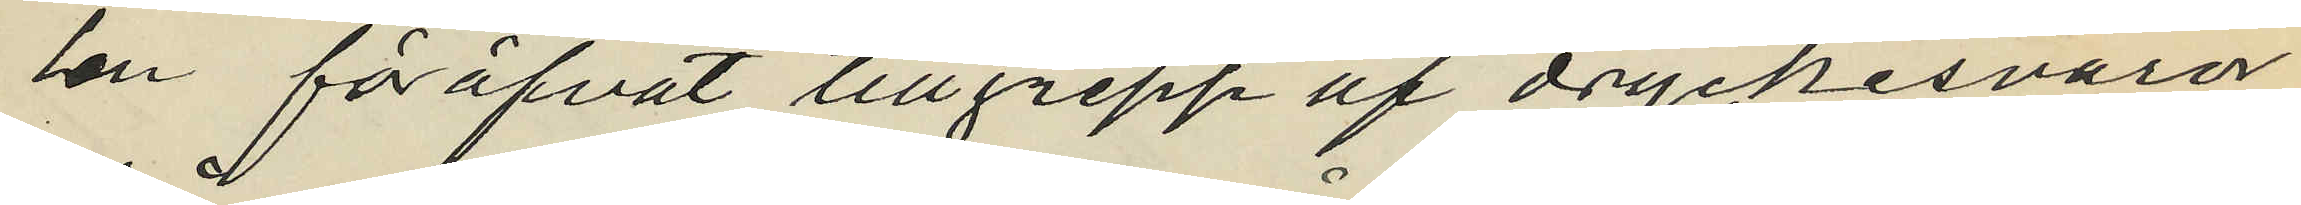len föröfvat tillgrepp af dryckesvaror
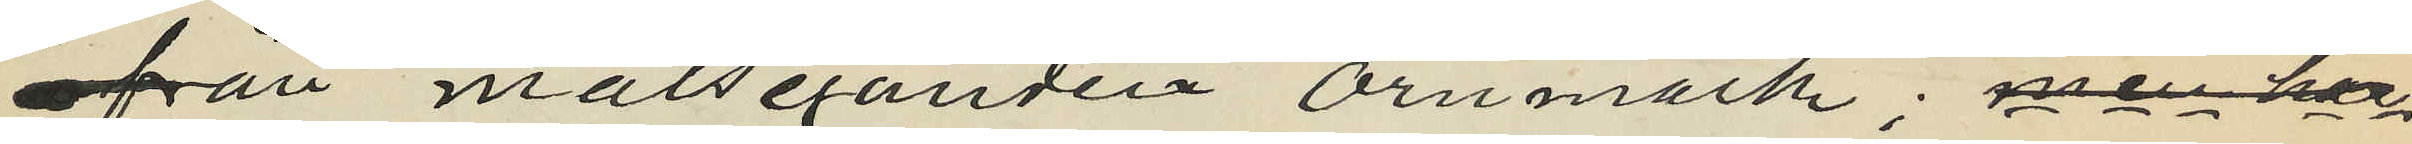från målseganden Örnmark; men har
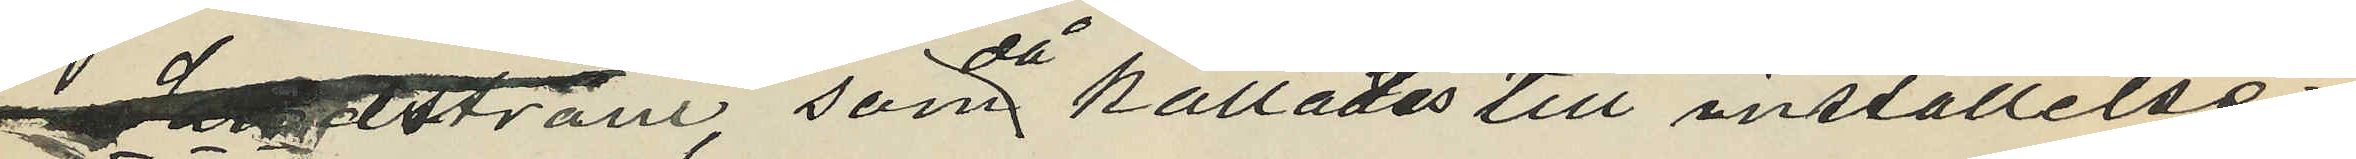Åström, som då kallades till inställelse
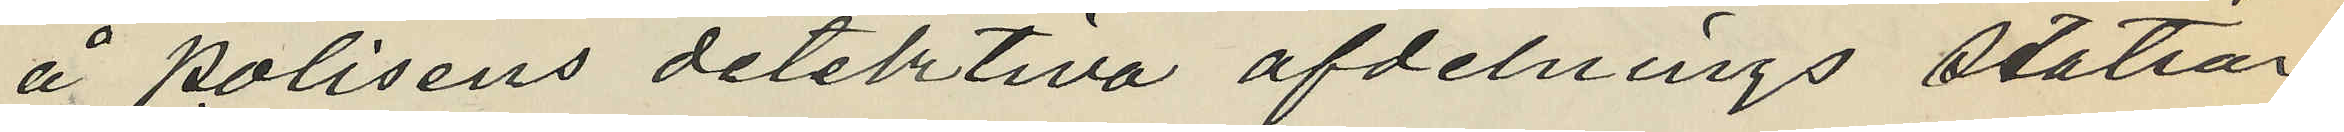å polisens detektiva afdelnings station
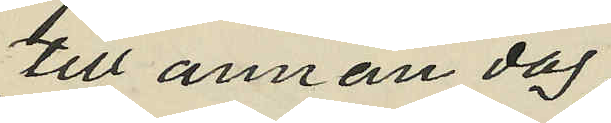till annan dag
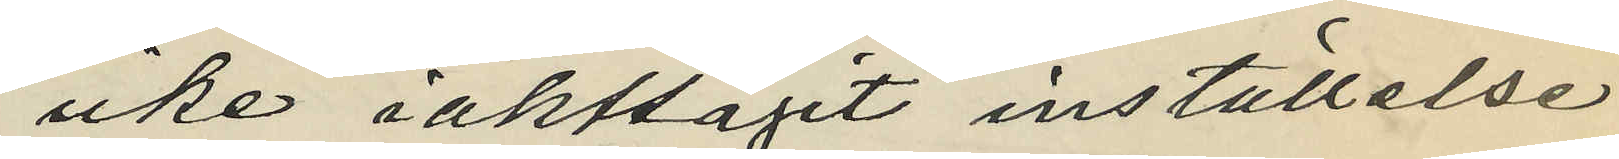icke iakttagit inställelse,
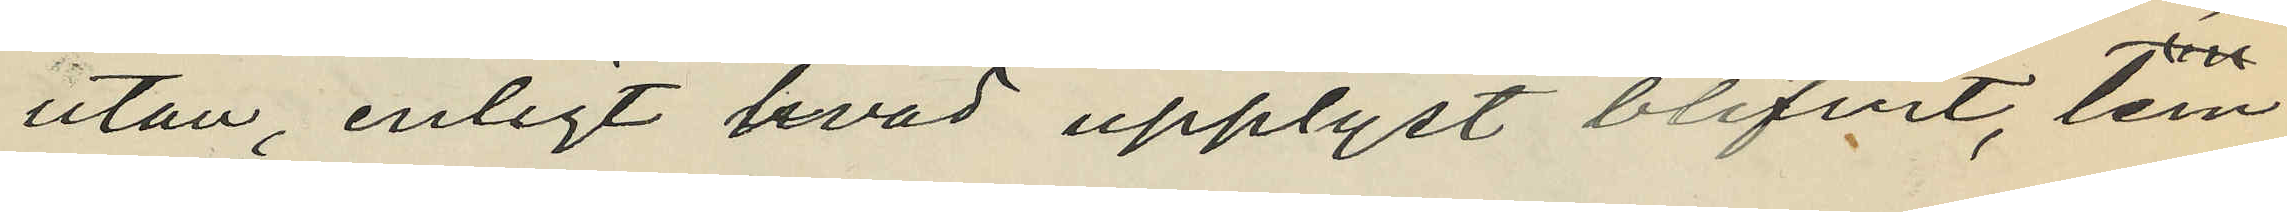utan, enligt hvad upplyst blifvit, lem¬
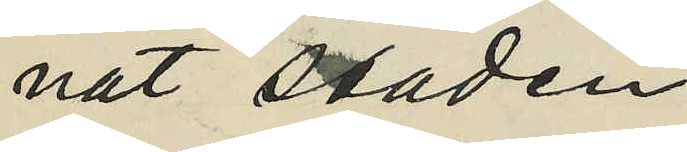nat staden.
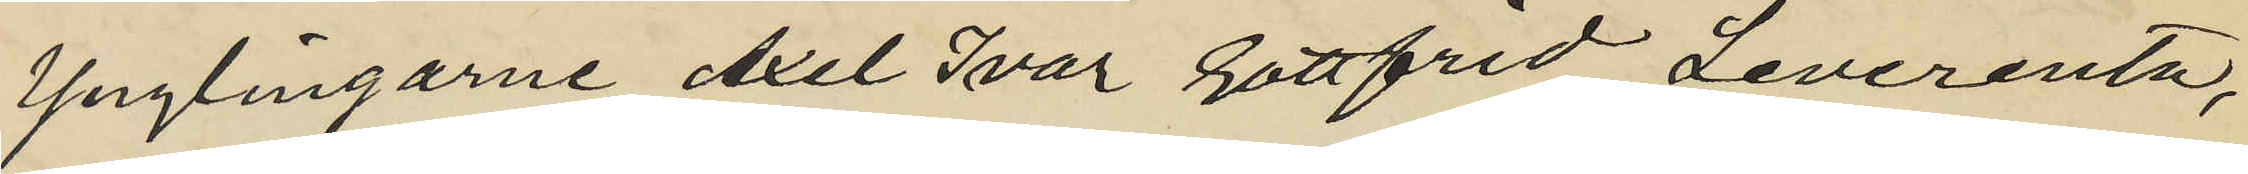Ynglingarne Axel Ivar Gottfrid Leverentz,
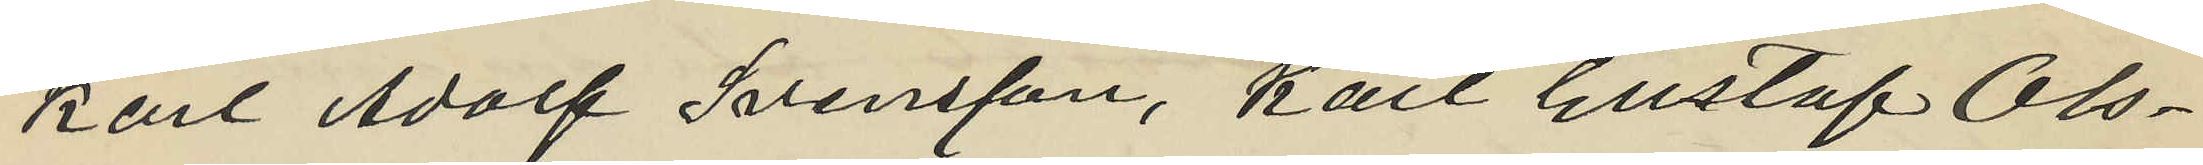Karl Adolf Svensson, Karl Gustaf Ols¬
